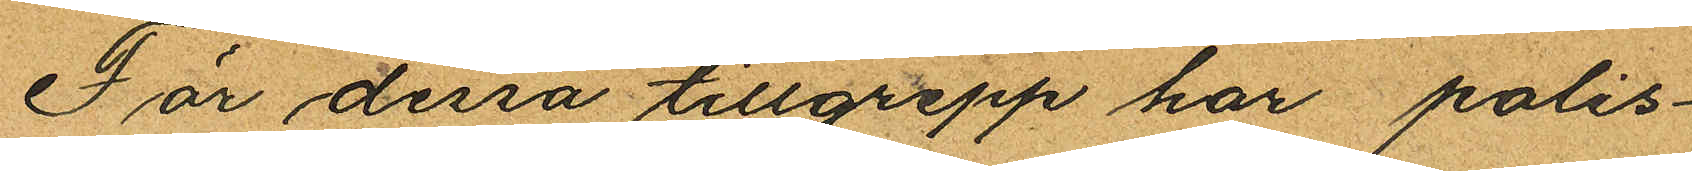För dessa tillgrepp har polis¬
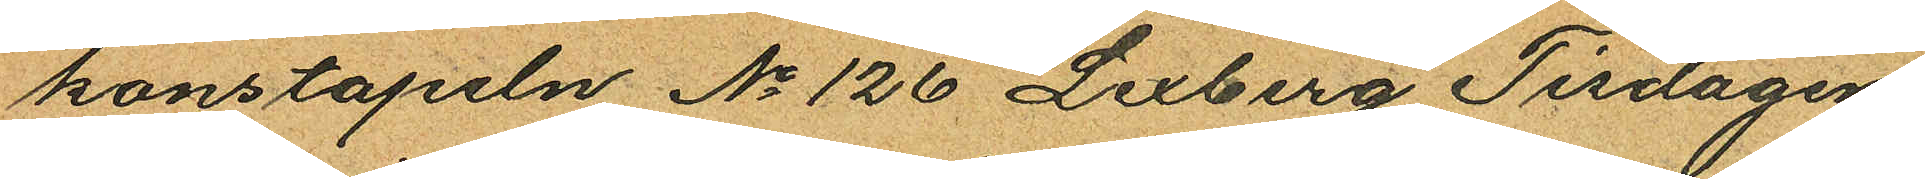konstapeln No 126 Lexberg Tisdagen
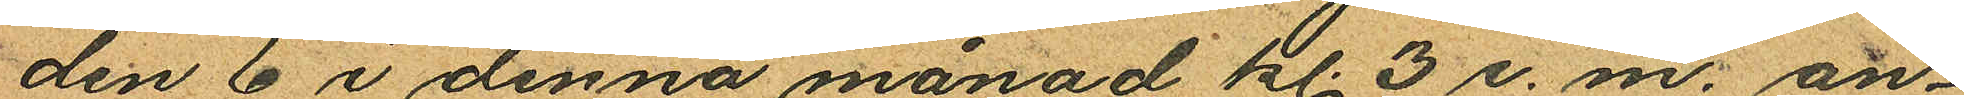den 6 i denna månad kl. 3 e. m. an¬
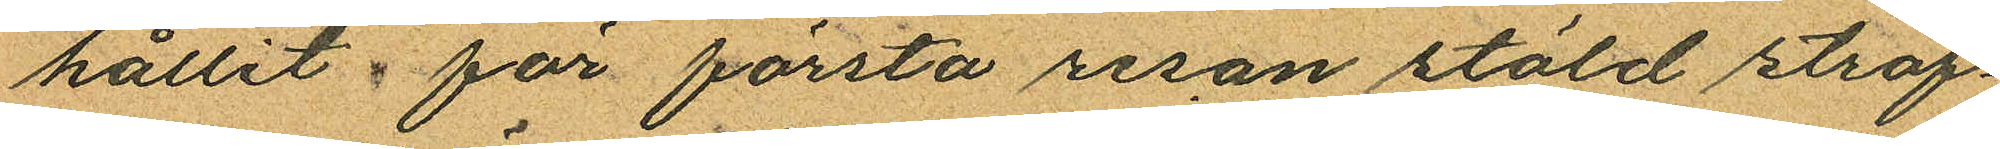hållit för första resan stöld straf¬
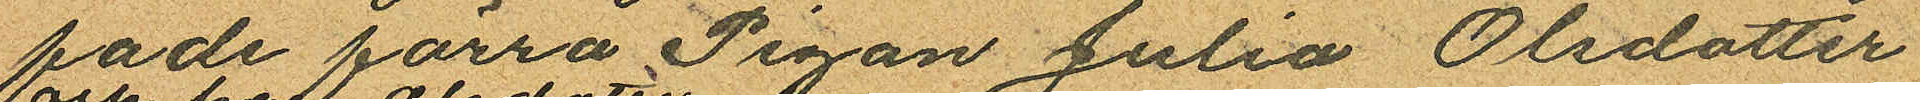fade förra Pigan Julia Olsdotter
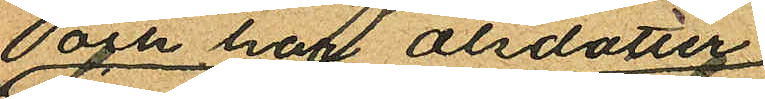och har Olsdotter
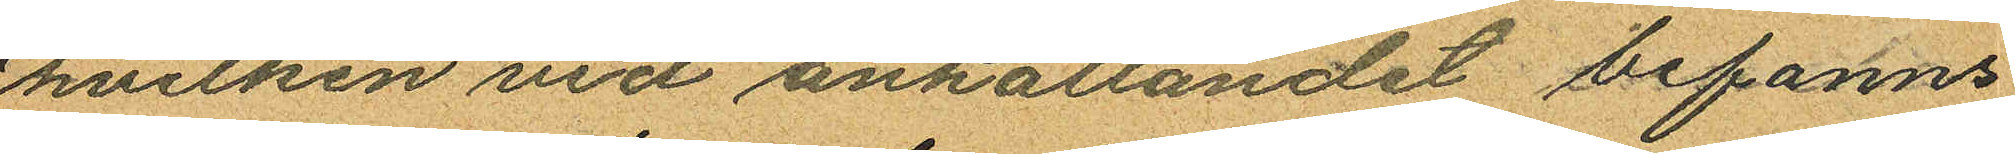hvilken vid anhållandet befanns
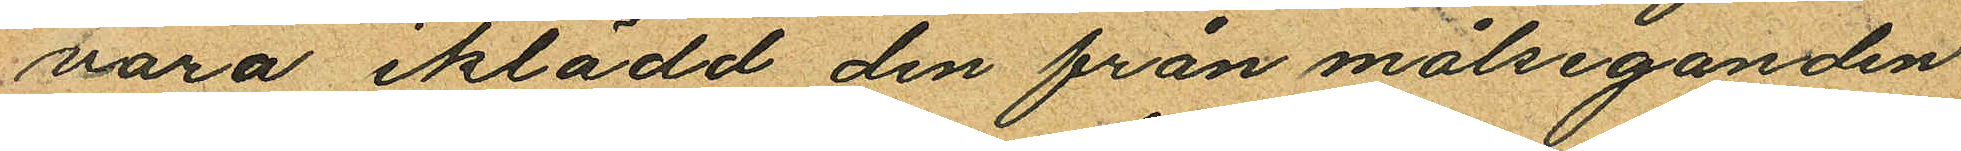vara iklädd den från målseganden
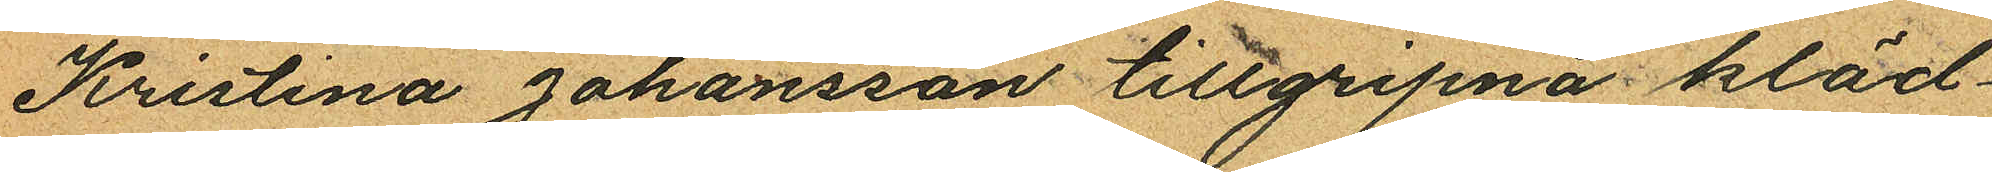Kristina Johansson tillgripna kläd¬
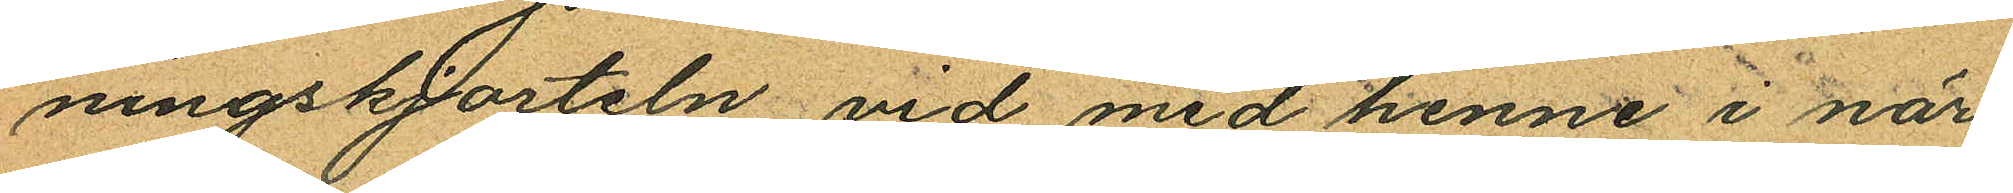ningskjorteln, vid med henne i när
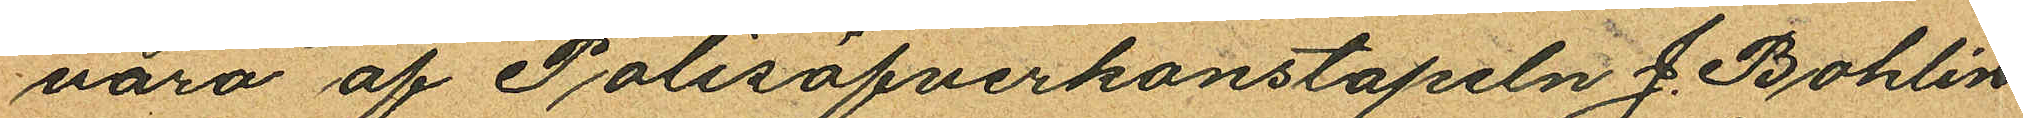varo af Polisöfverkonstapeln J. Bohlin
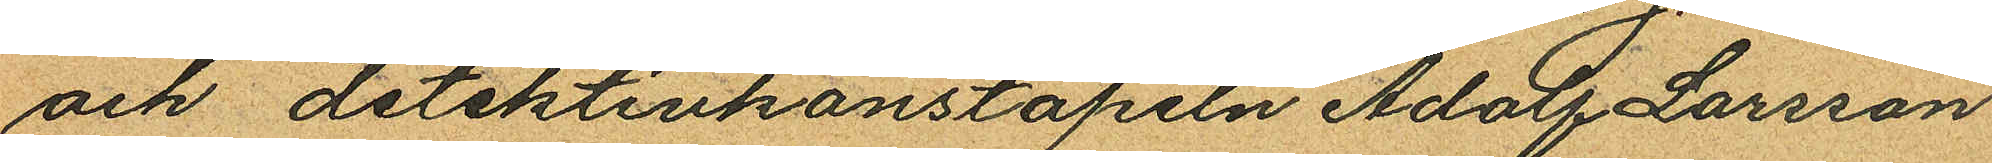och detektivkonstapeln Adolf Larsson
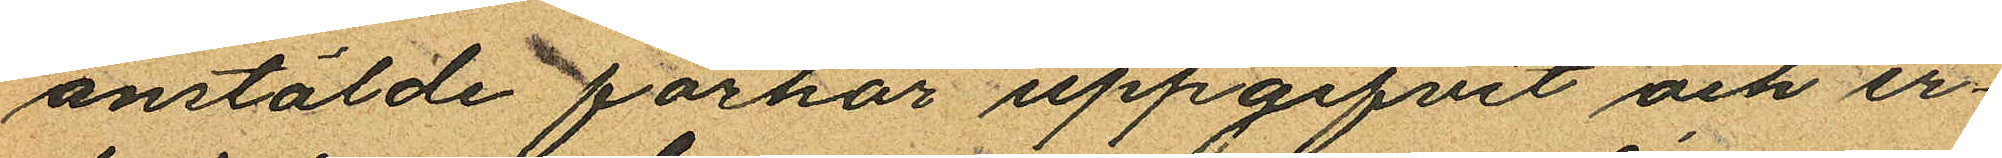anstälde förhör uppgifvit och er¬
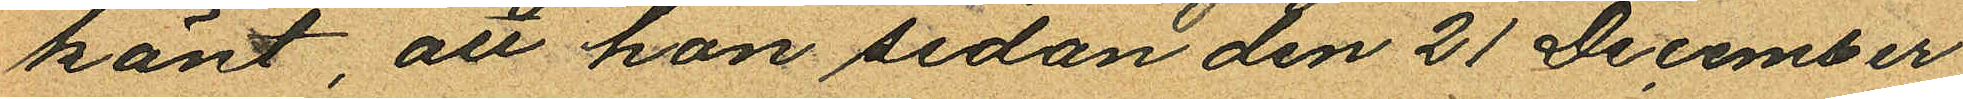känt att hon sedan den 21 December
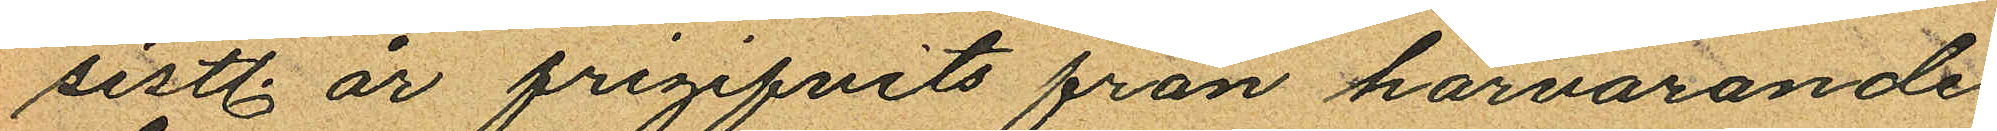sistl. år frigifvits från härvarande
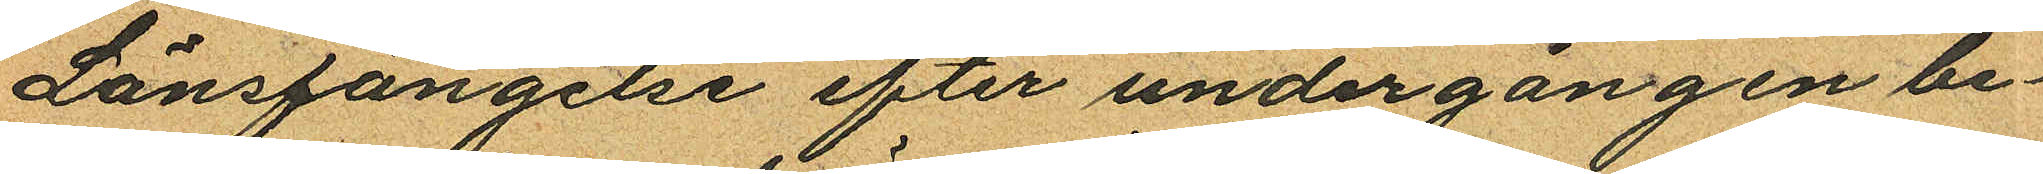Länsfängelse efter undergången be¬
